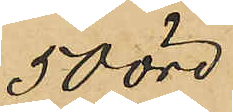50 öre
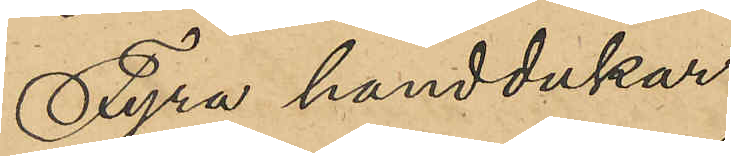Fyra handdukar
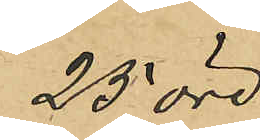25 öre
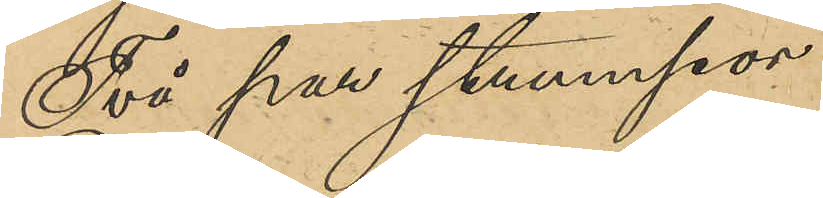Två par strumpor
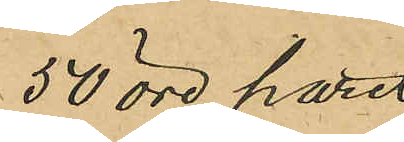50 öre paret
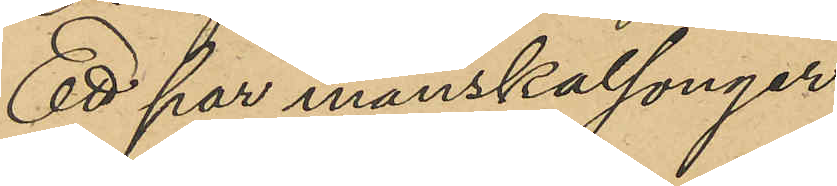Ett par manskalsonger
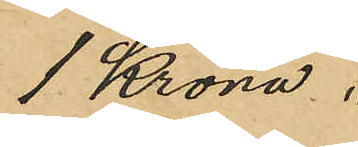1 Krona "
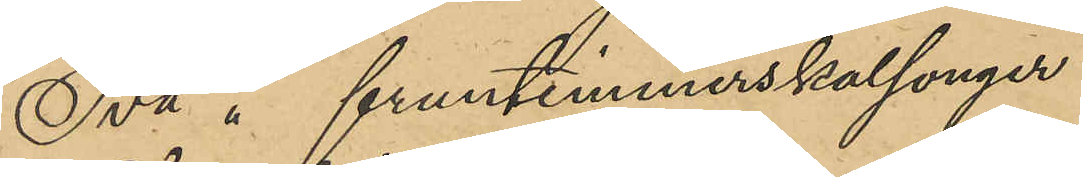Två " fruntimmerskalsonger
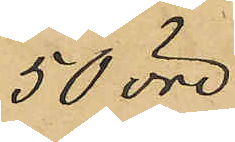50 öre
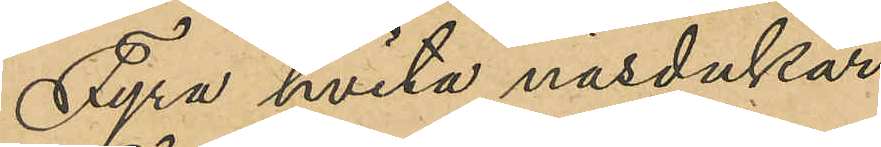Fyra hvita näsdukar
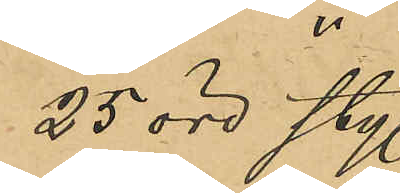25 öre sty.
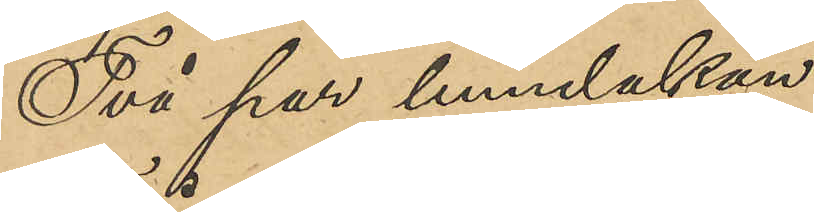Två par linnedukar
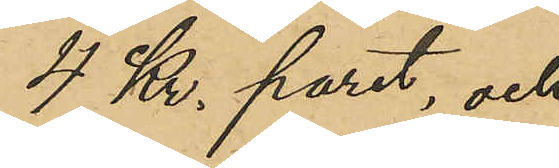4 Kr. paret, och
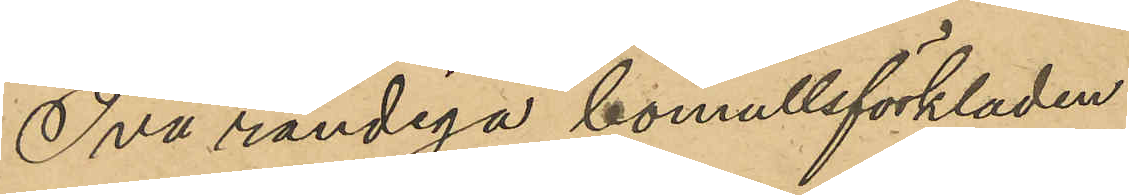Två randiga bomullsförkläden
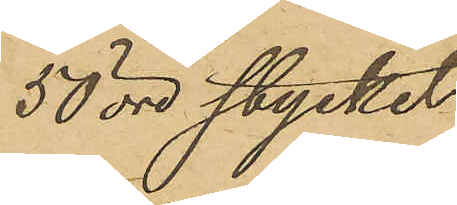50 öre stycket,
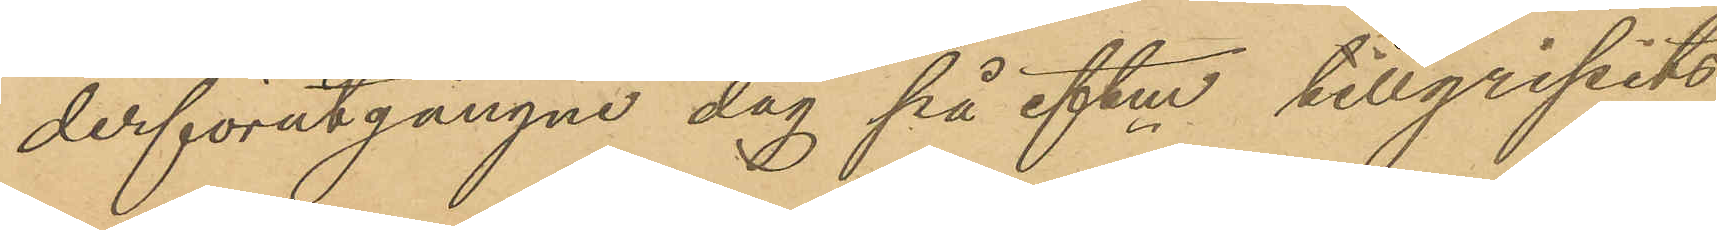derförutgångne dag på eftm tillgripits
